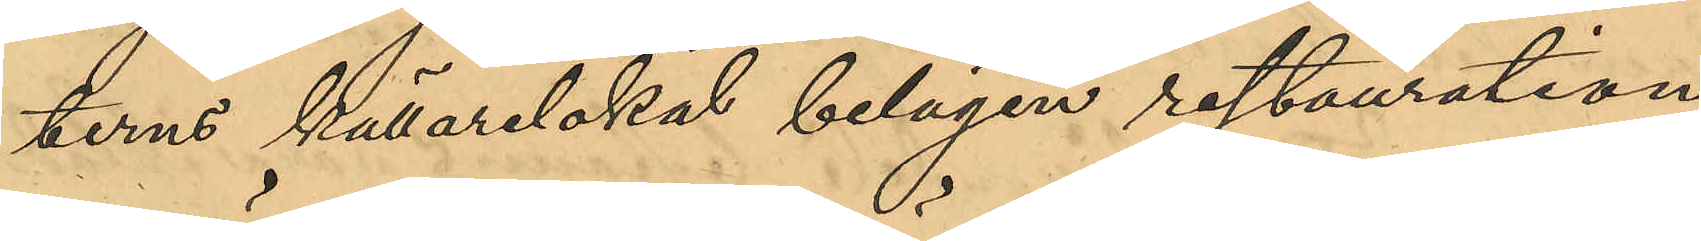terns källarlokal belägen restauration
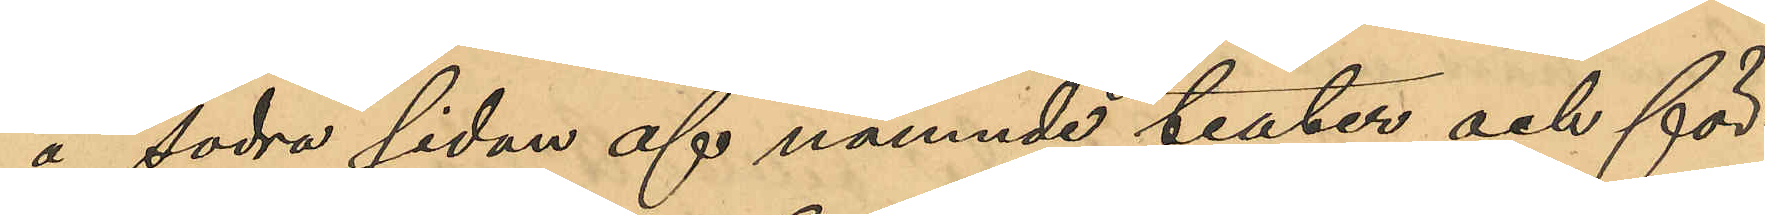å södra sidan af nämnde teater och för¬
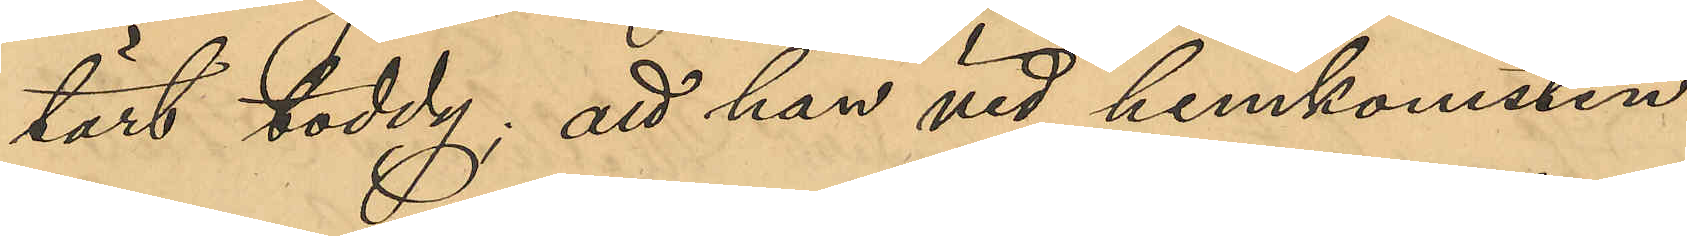tärt toddy; att han vid hemkomsten
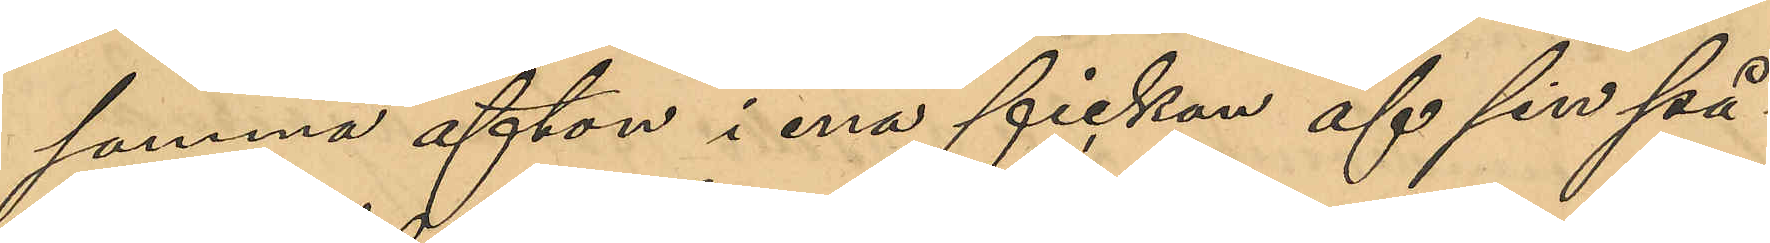samma afton i ena fickan af sin på¬
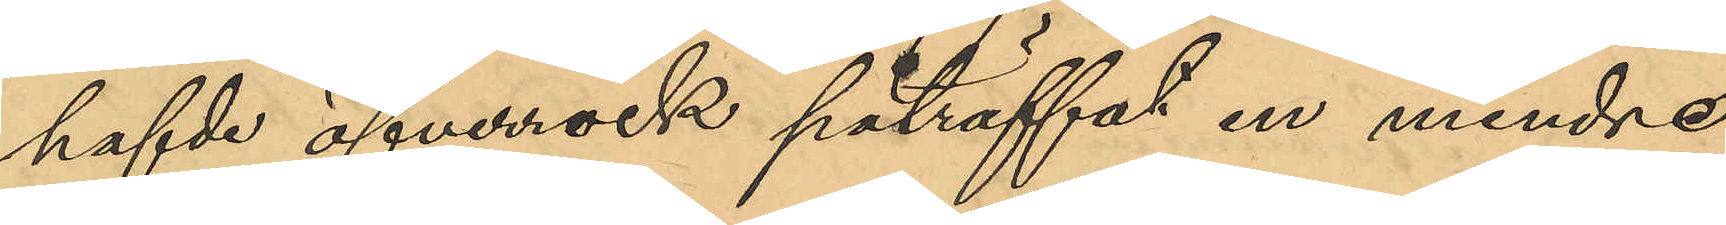hafde öfverrock påträffat en mindre
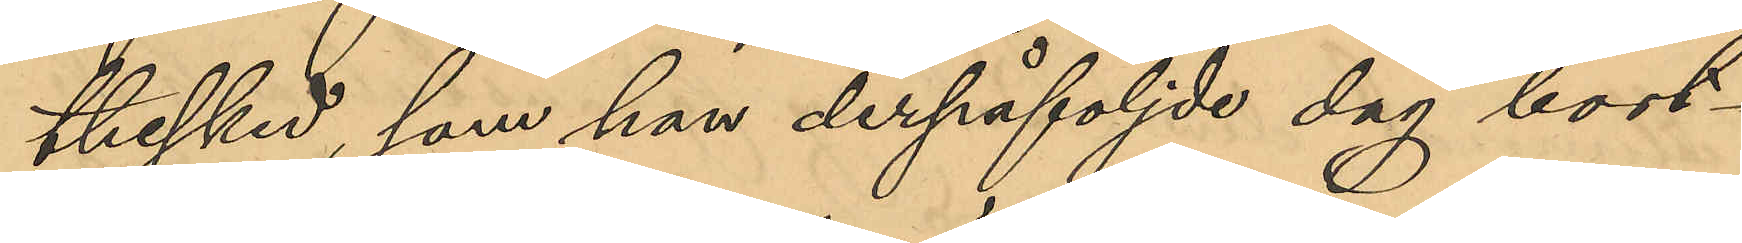thesked, som han derpåföljde dag bort¬
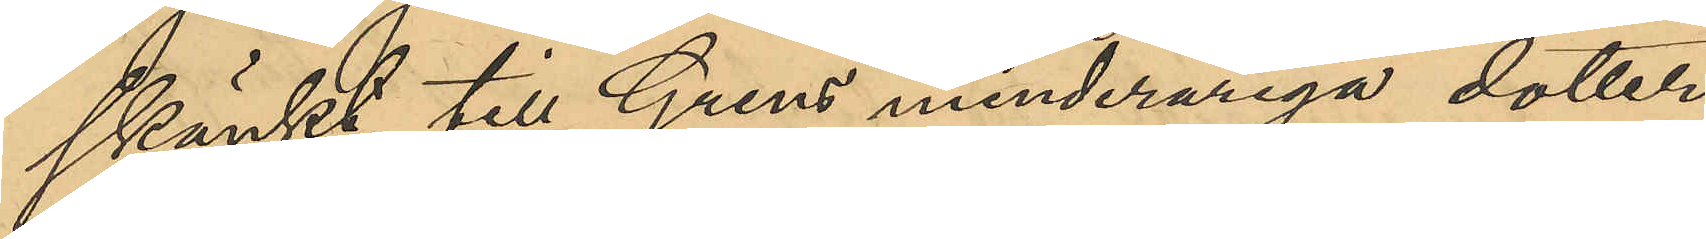skänkt till Grens minderåriga dotter
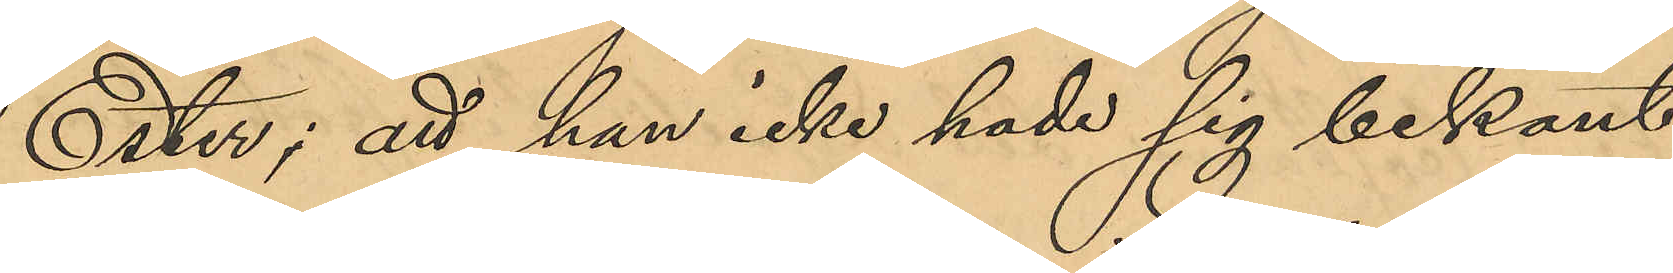Ester; att han icke hade sig bekant
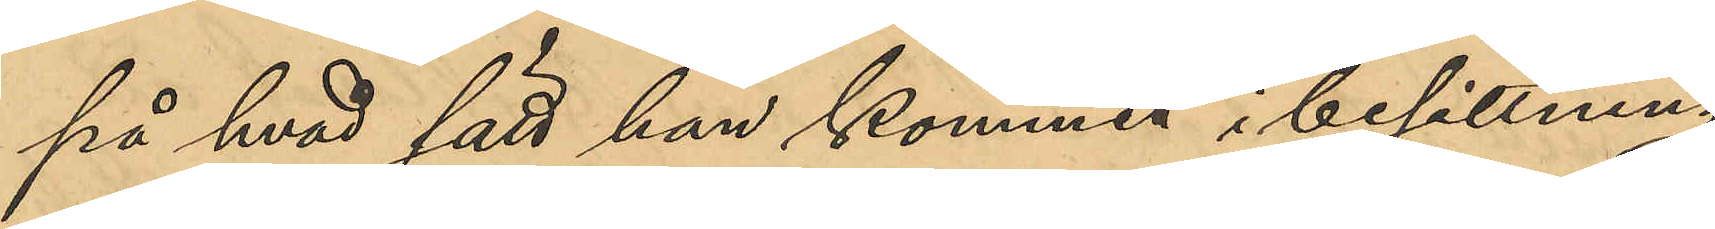på hvad sätt han kommit i besittning
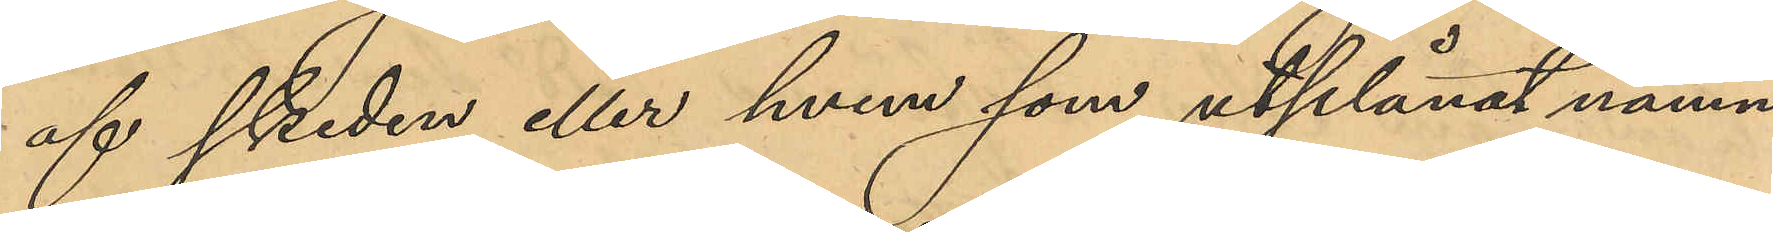af skeden eller hvem som utplånat namn¬
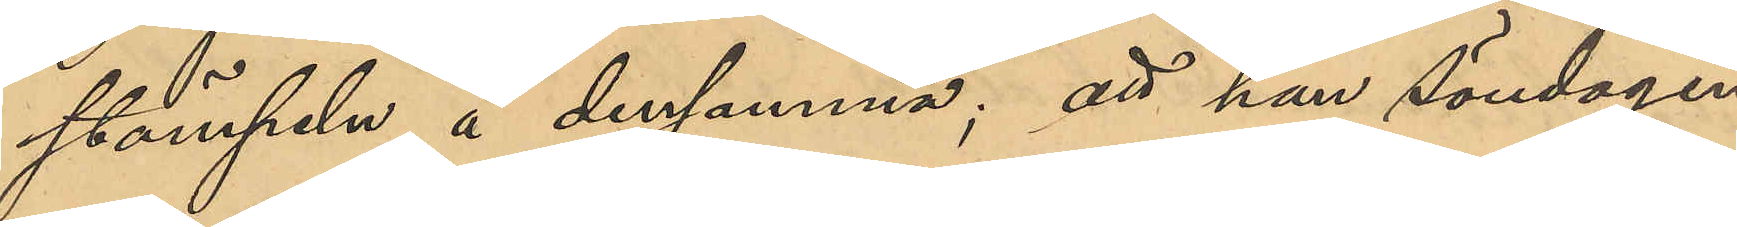stämpeln å densamma; att han söndagen
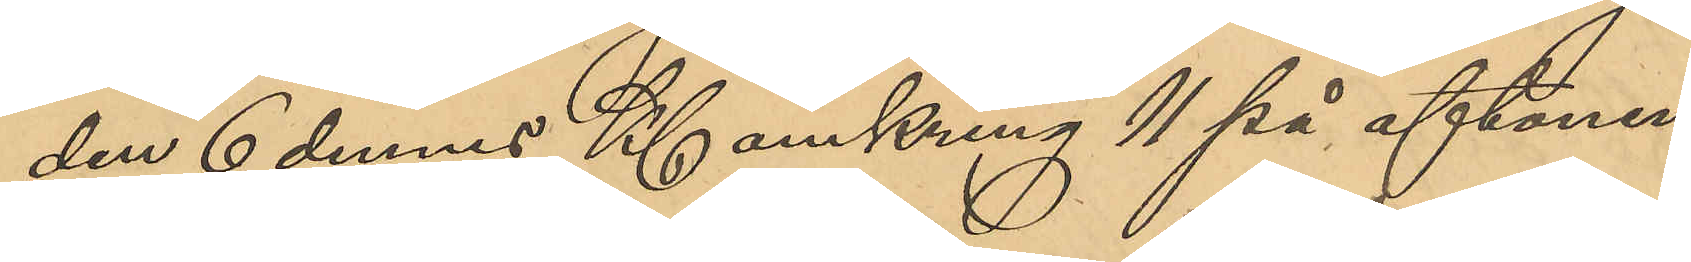den 6 dennes Kl omkring 11 på aftonen
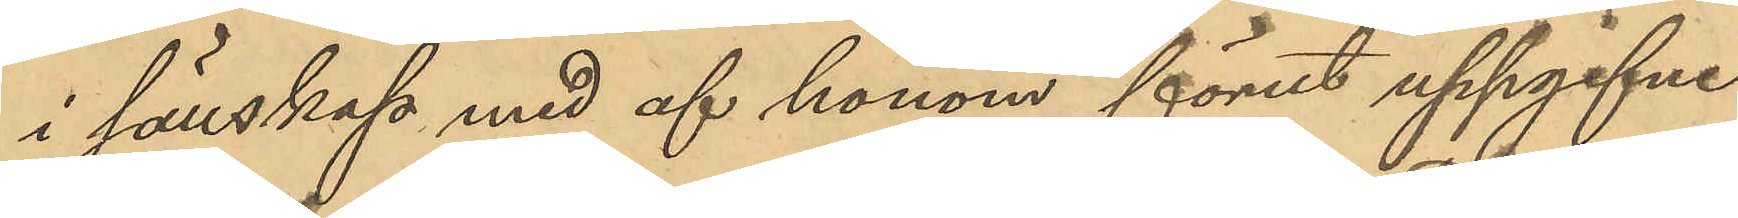i sällskap med af honom förut uppgifne
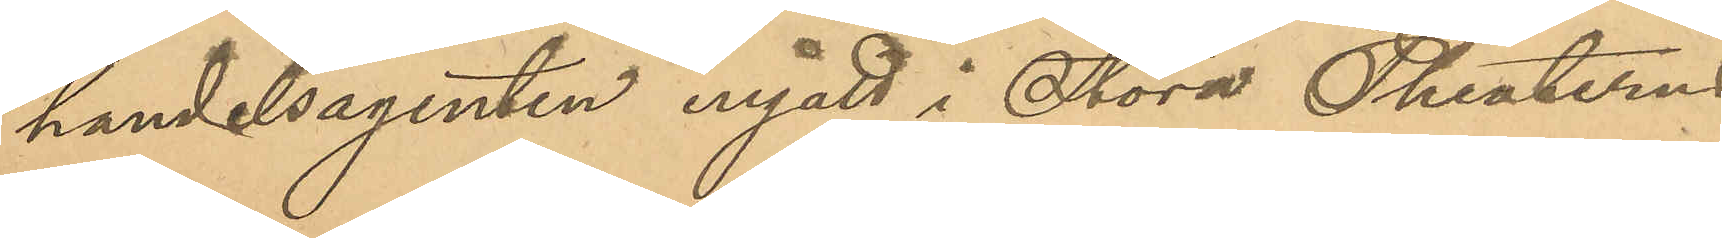handelsagenten ingått i Stora Theaterns
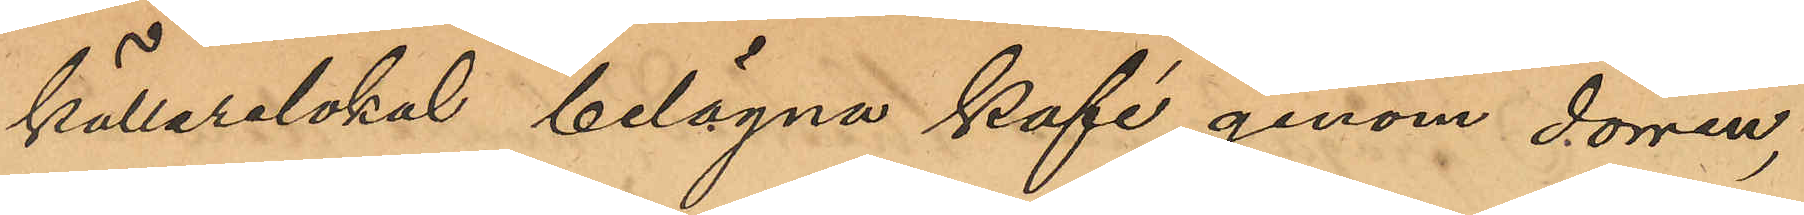källarelokal belägna kafé genom dörren,
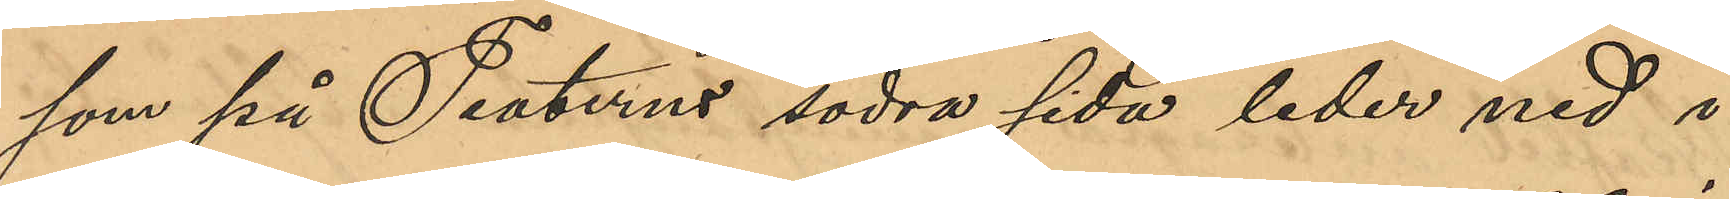som på Teaterns södra sida leder ned i
